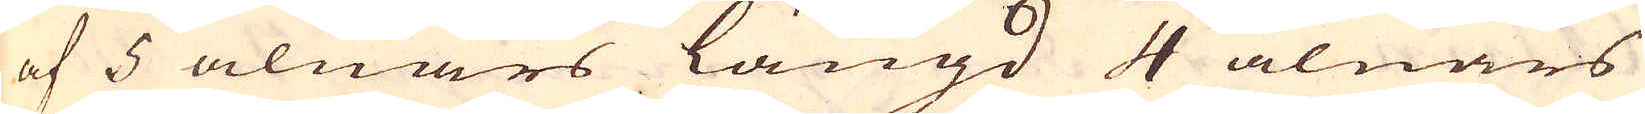af 5 alnars längd 4 alnars
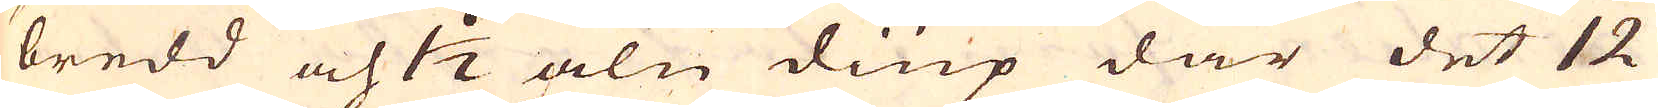bredd och 1 1/2 aln diup där det 12
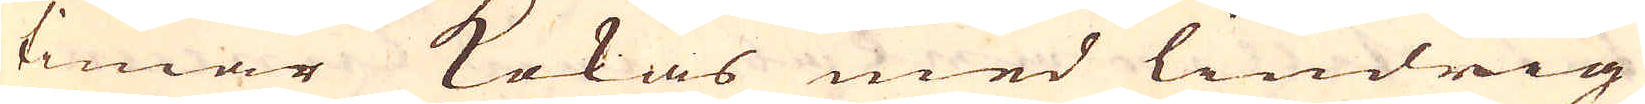timar kokas med lindrig
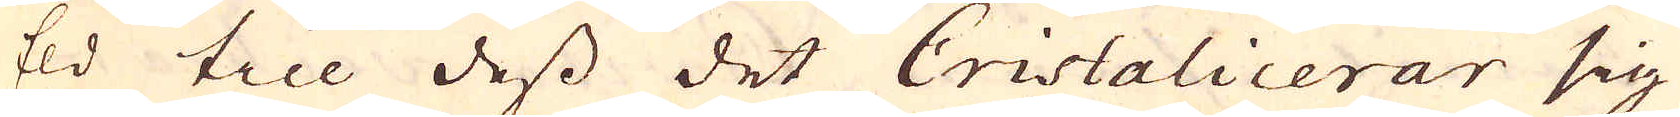Eld till dess det Cristalicerar sig
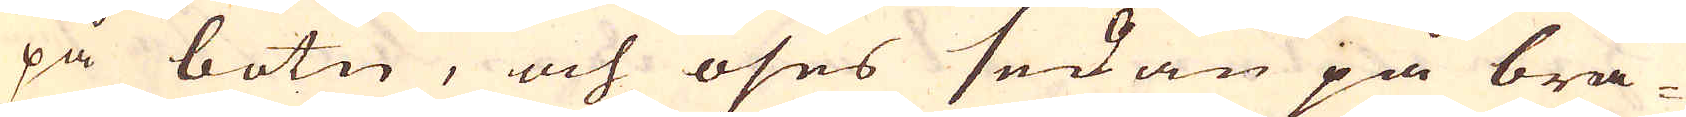på botn, och öses sedan på brä-
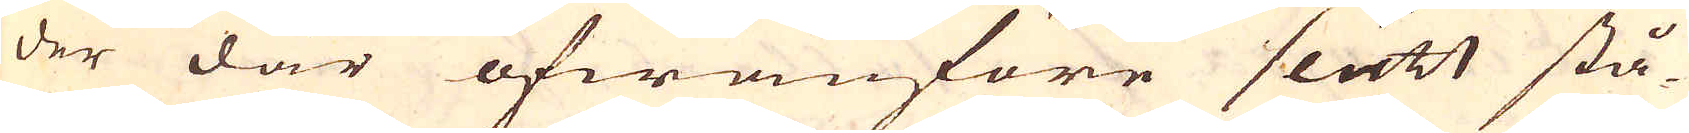der där ofwanföre slätt stå-
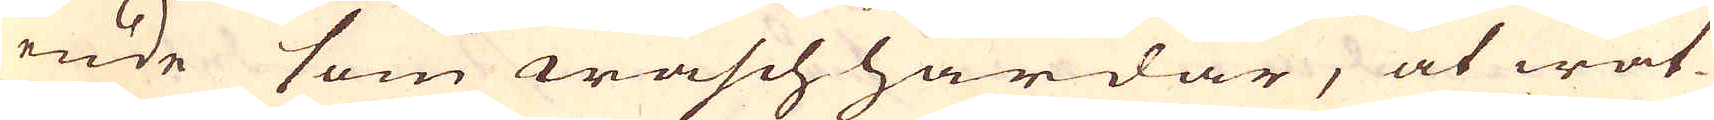ende som waschhärdar, at wat-
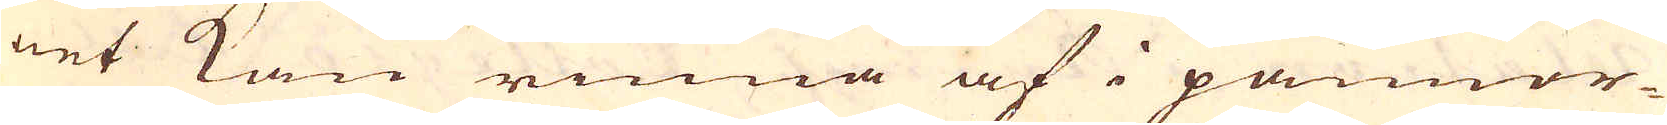net kan rinna af i pannor-
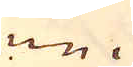ne.
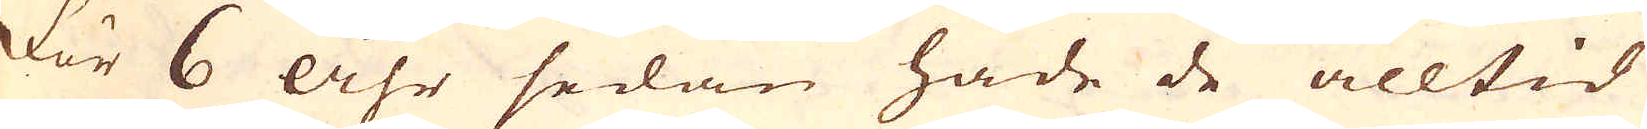För 6 åhr sedan hade de alltid
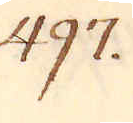497.
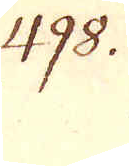498.
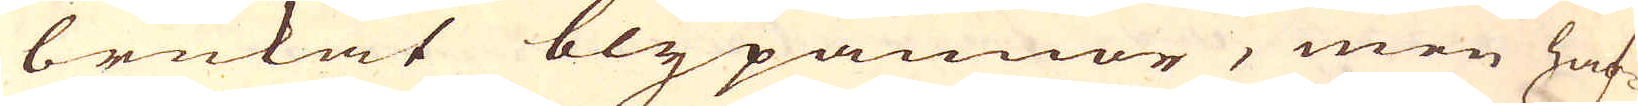brukat blypannor, men haf-
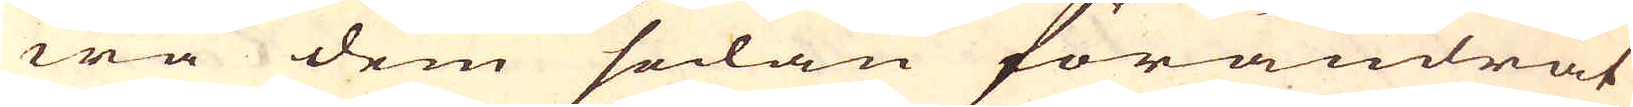wa dem sedan förändrat
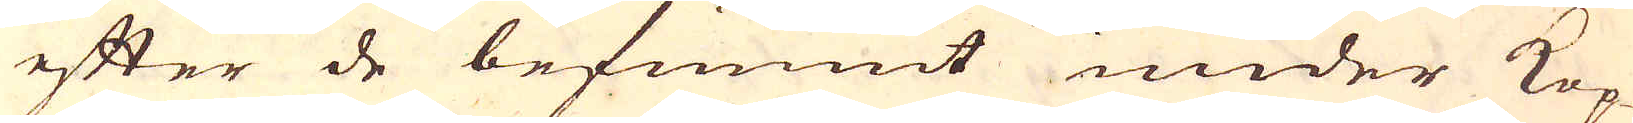efter de befunnit under Kop-
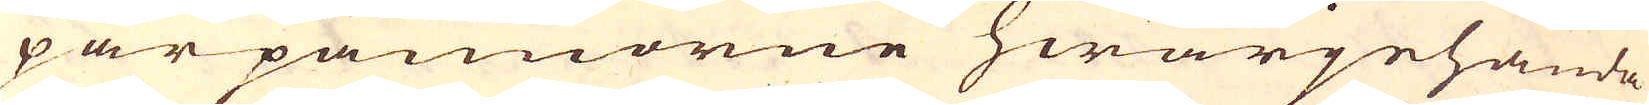parpannorne hwarjehanda
